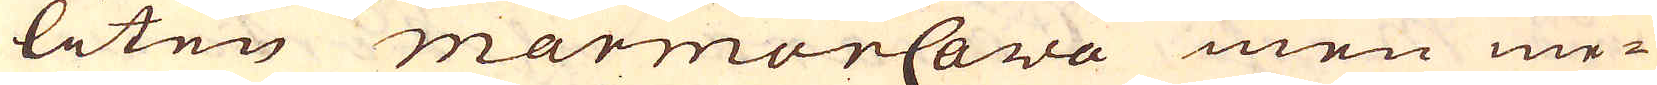liten marmorCava men me-
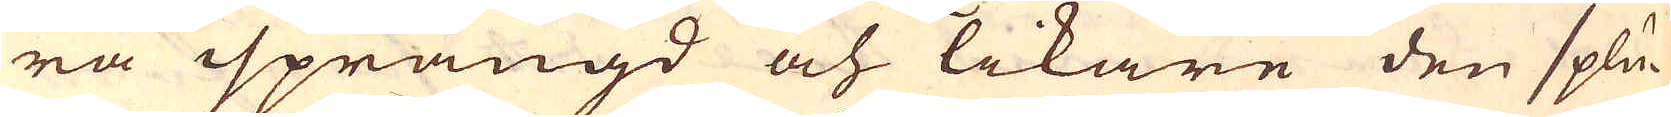ra sprängd och likare den splu-
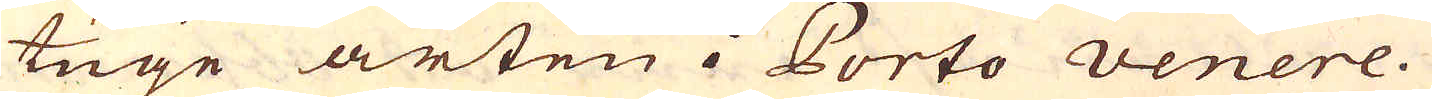tuge arten i Porto venere.
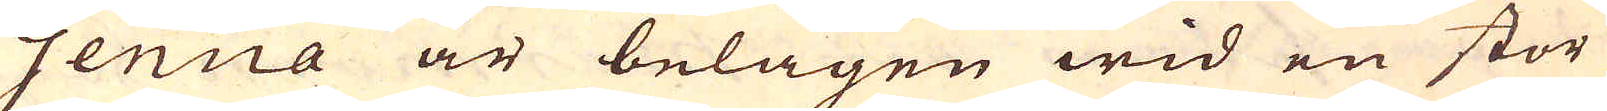Genua är belägen wid en stor
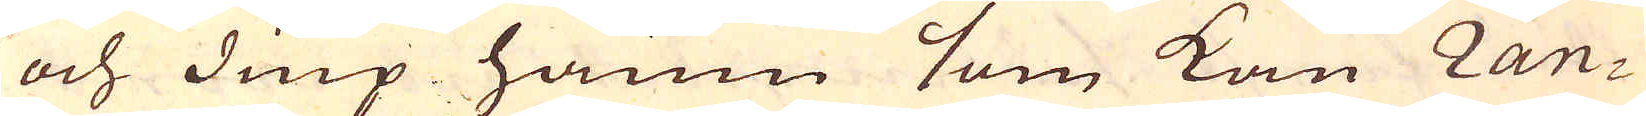och diup hamn som kan Ran-
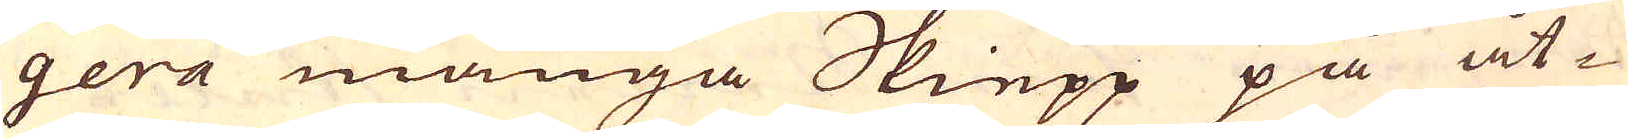gera många Skiepp på åt-
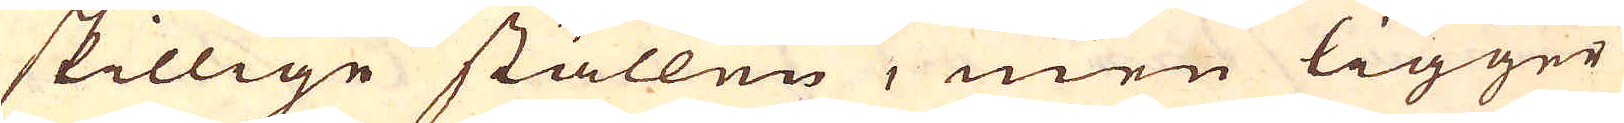skillige ställen, men ligger
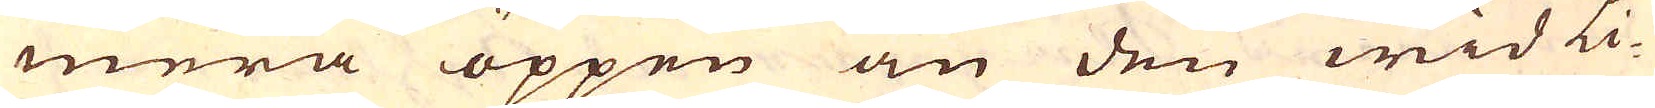mera öppen än den wid Li-
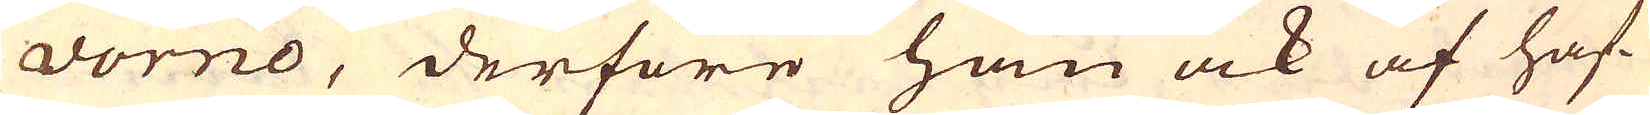vorno, derföre han ock af haf-
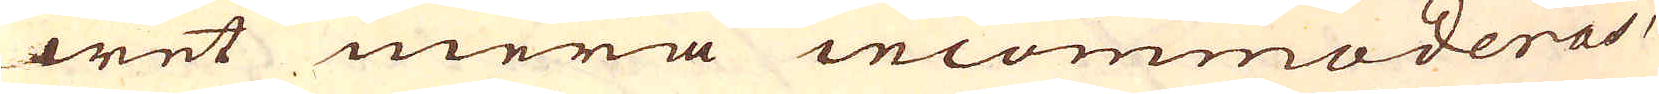wet mera incommoderas,
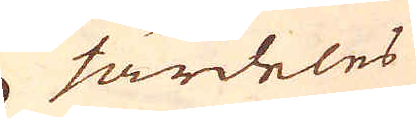särdeles
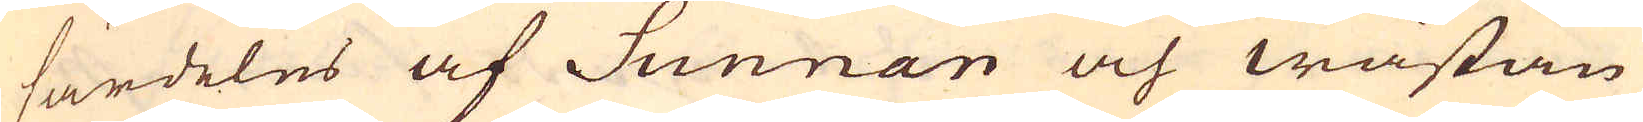särdeles af Sunnan och wästan
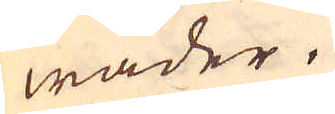wäder.
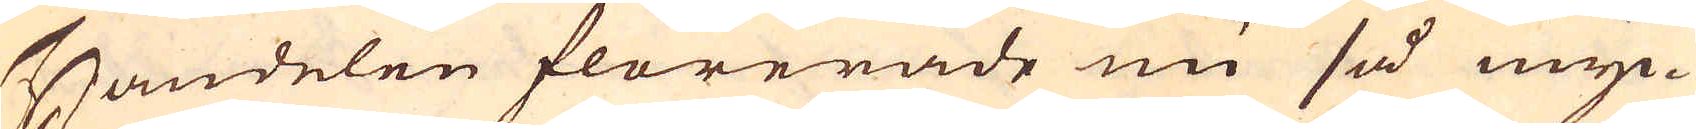Handelen florerade nu så myc-
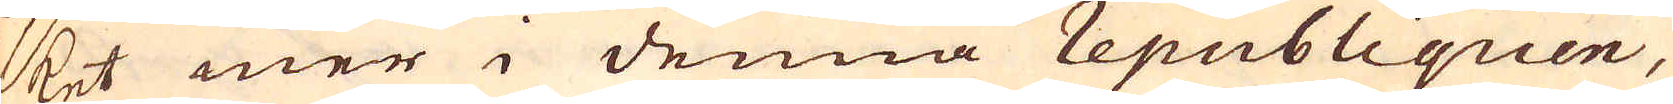ket mer i denna republiquen,
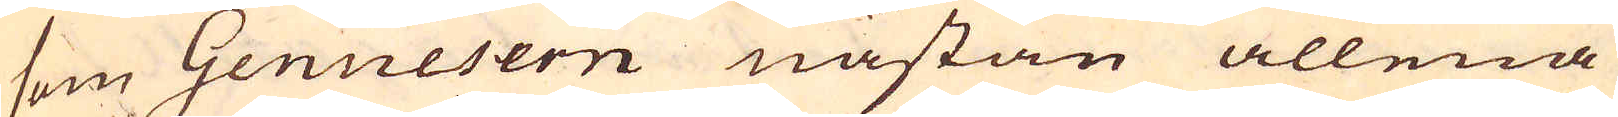som Genuesern nästan allena
